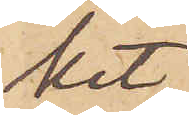ket.
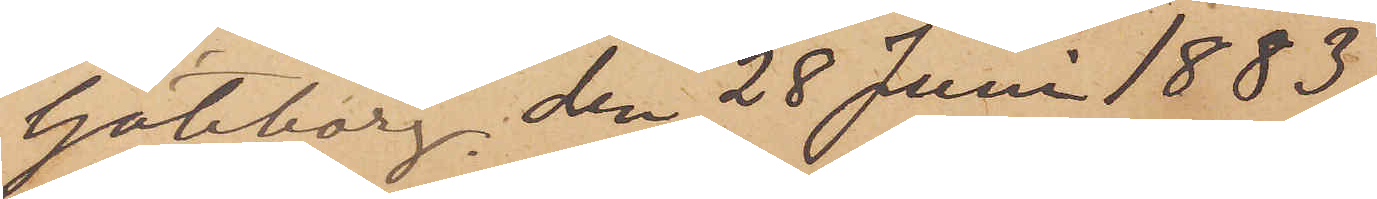Göteborg den 28 Juni 1883.
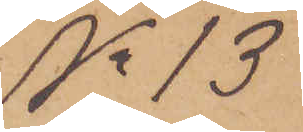No 13
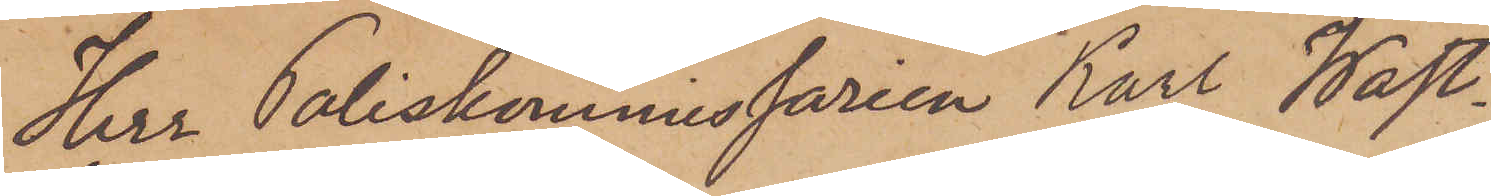Herr Poliskommissarien Karl Wäst¬
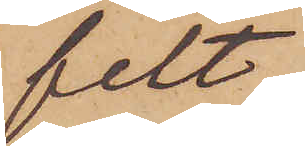felt.
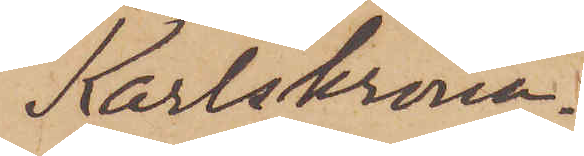Karlskrona.
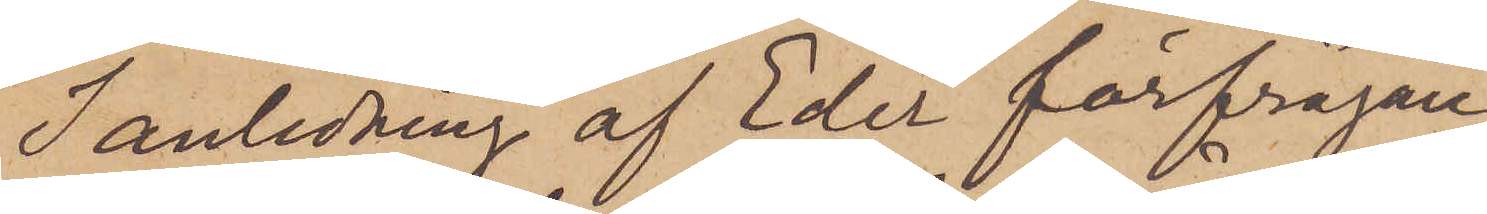I anledning af Eder förfrågan
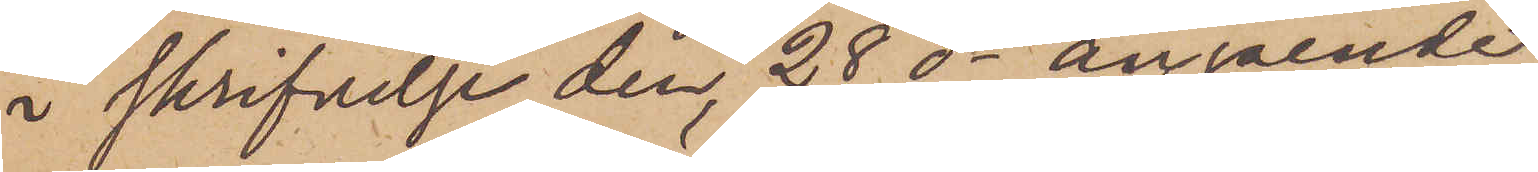i skrifvelse den 28 ds angående
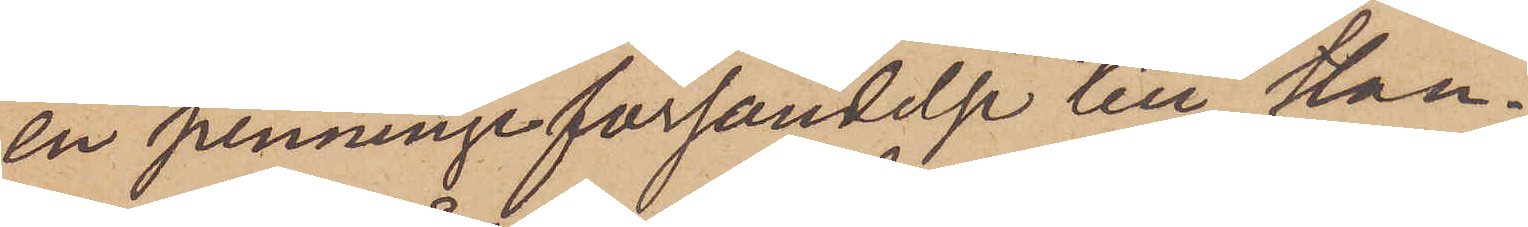en penningsförsändelse till Han¬
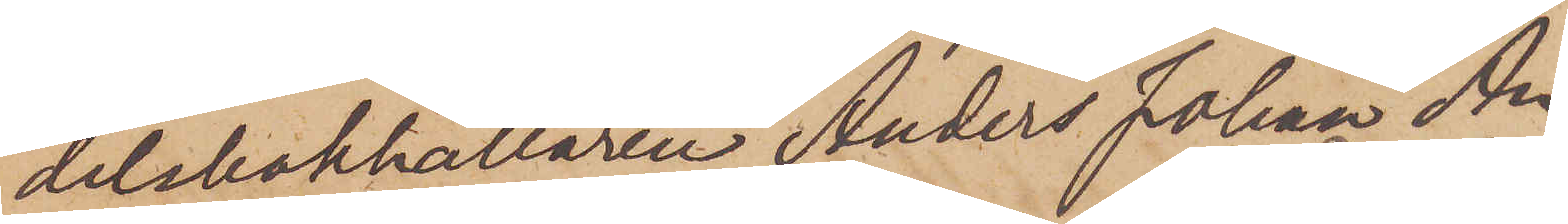delsbokhållaren Anders Johan An¬
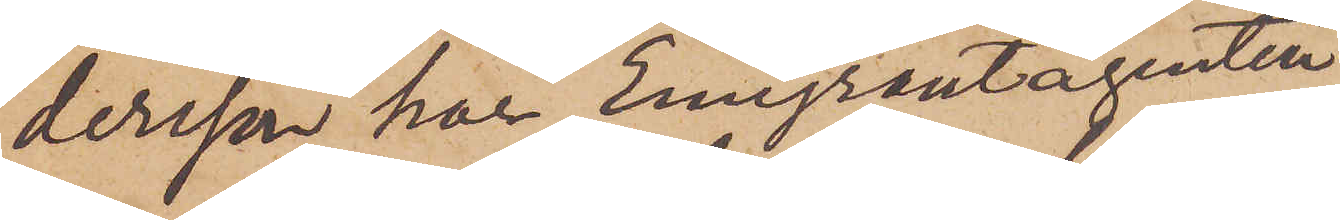dersson har Emigrantagenten
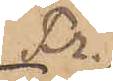Fr.
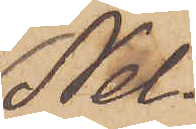Nel¬
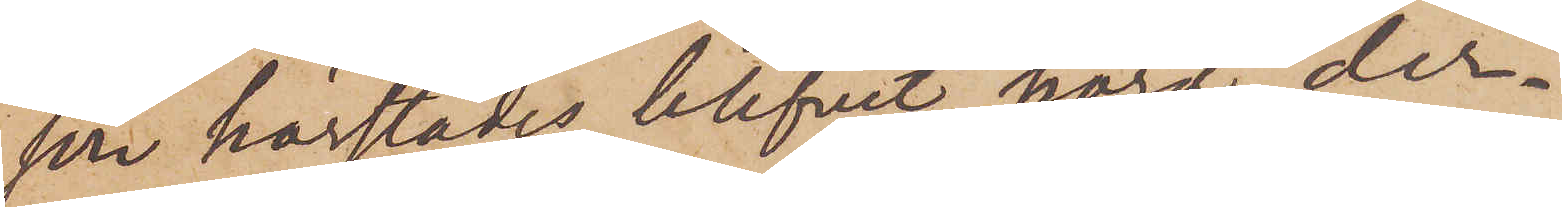son härstädes blifvit hörd, der¬
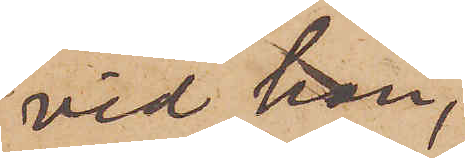vid han,
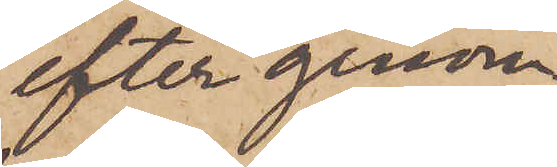efter genom
